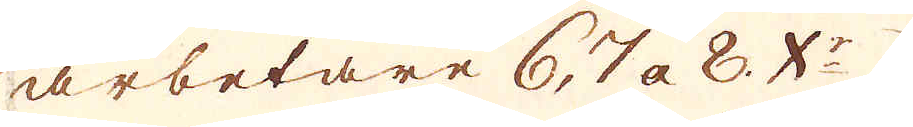arbetare 6, 7 a 8. X:r
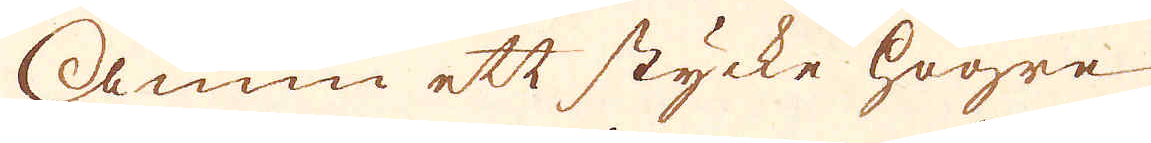Ännu ett stycke högre
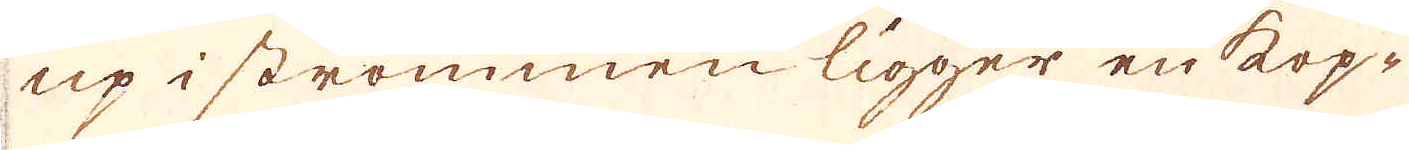up i strömmen ligger en kop-
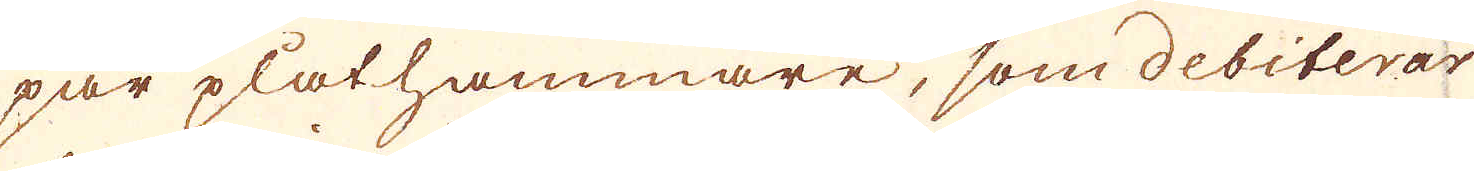par plåthammare, som debiterar
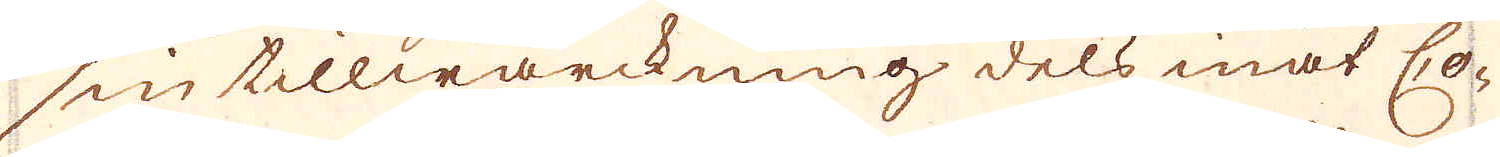sin tillwärckning dels måt Co-
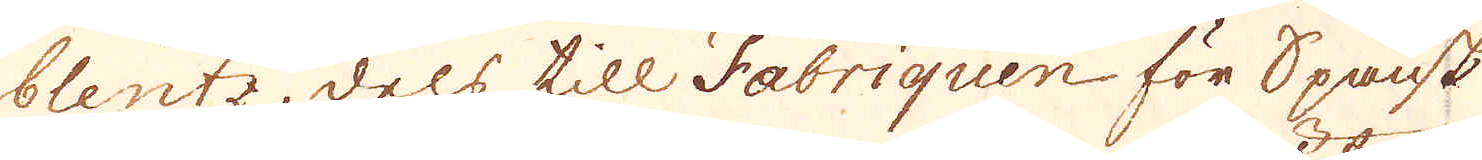blentz, dels till Fabriquen för Spansk
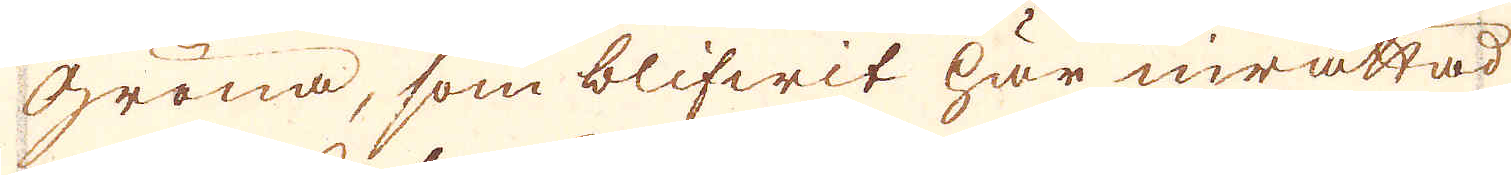Gröna, som blifwit här inrättad
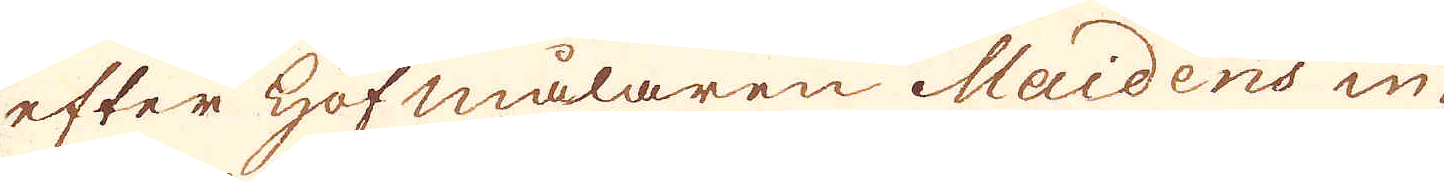efter Hofmålaren Maidens in-
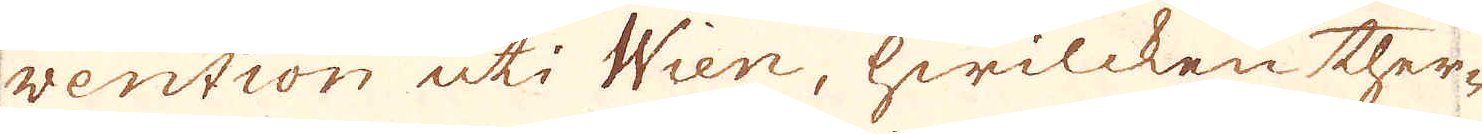vention uti Wien, hwilcken ther-
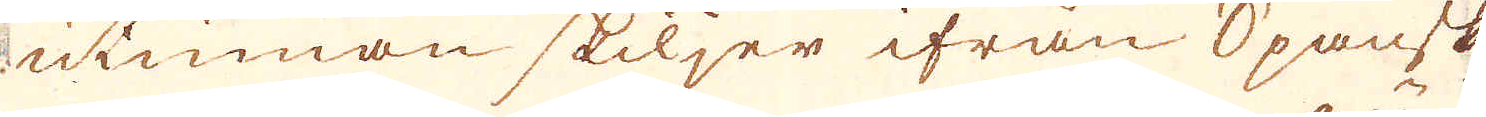utinnan skiljer ifrån Spansk
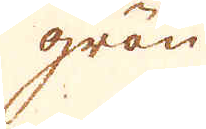grän
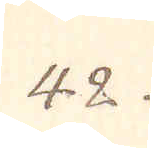42.
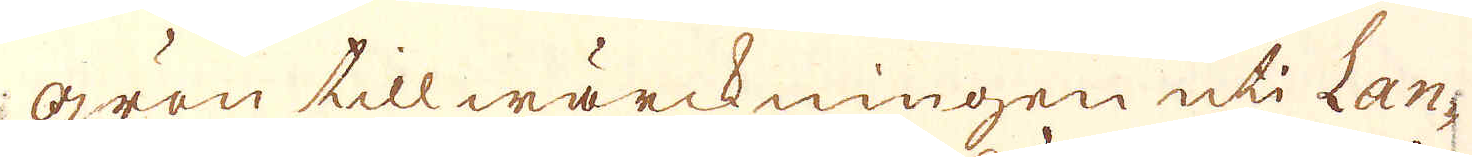grön tillwärckningen uti Lan-
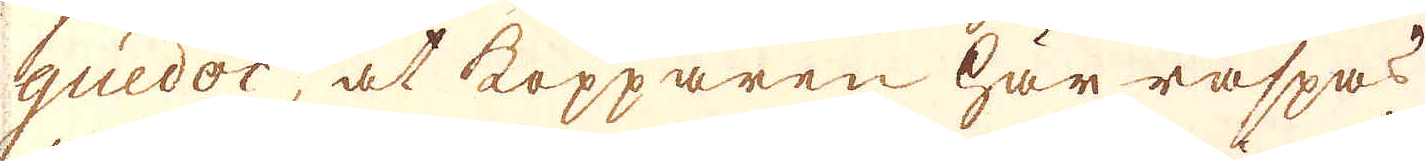guedoc, at kopparen här räspas
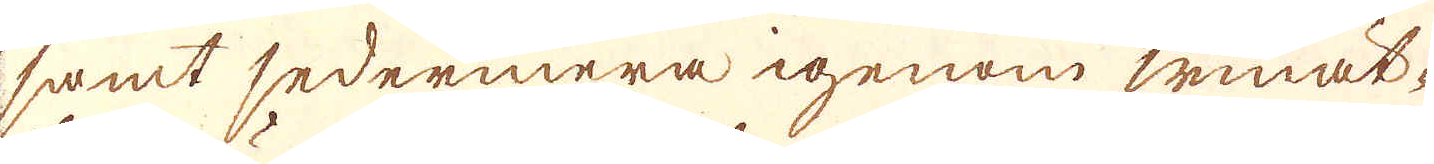samt sedermera igenom winät-
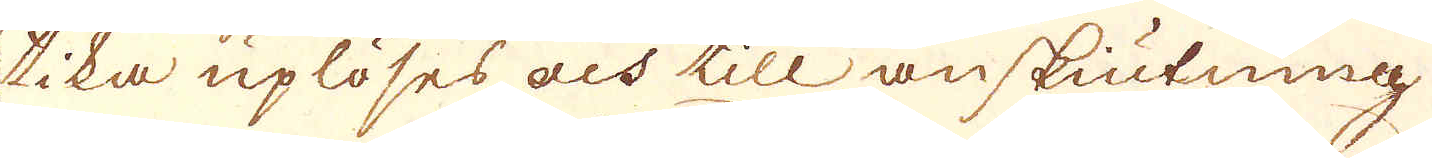tika uplöses och till anskiutning
